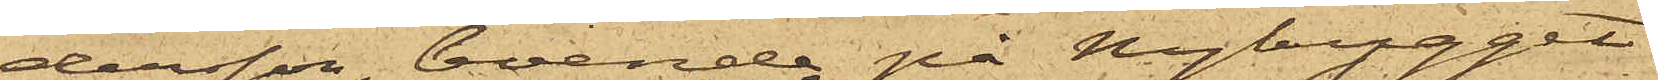dersson, boende på Nybygget
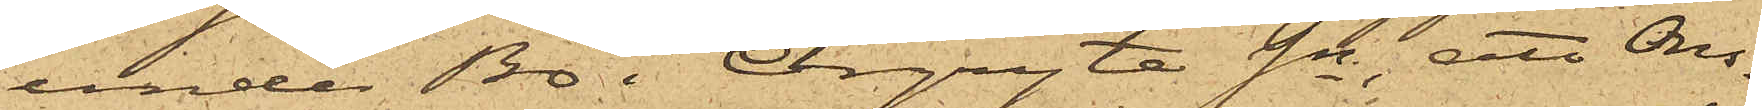under Bö i Örgryte Sn, att Ons¬
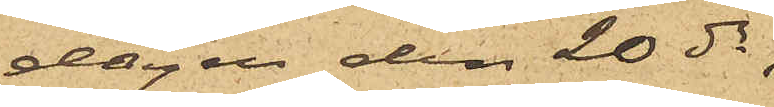dagen den 20 ds,
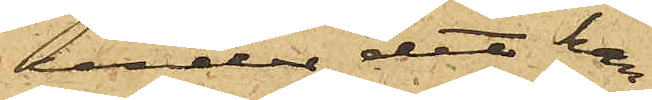under det han
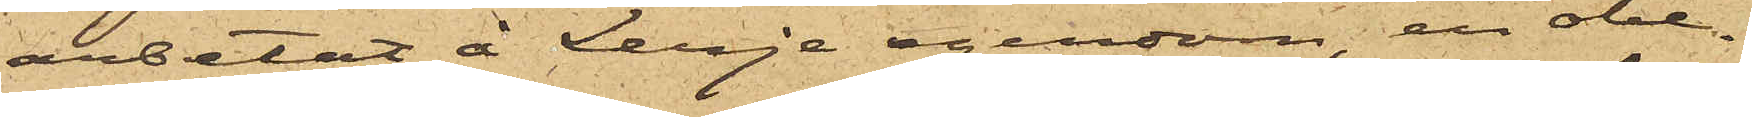arbetat å Lerje egendom, en obe¬
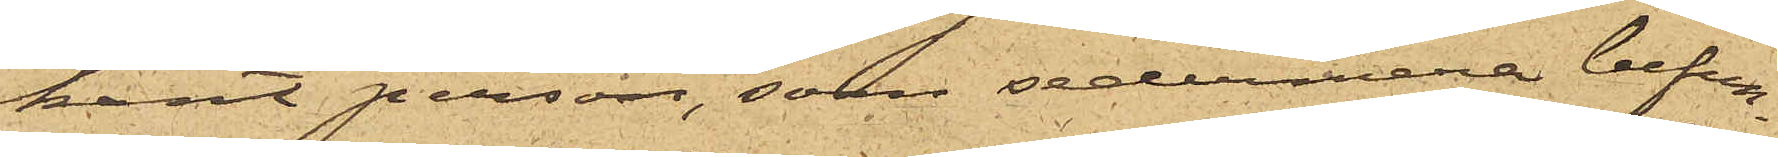kant person, som sedermera befun¬
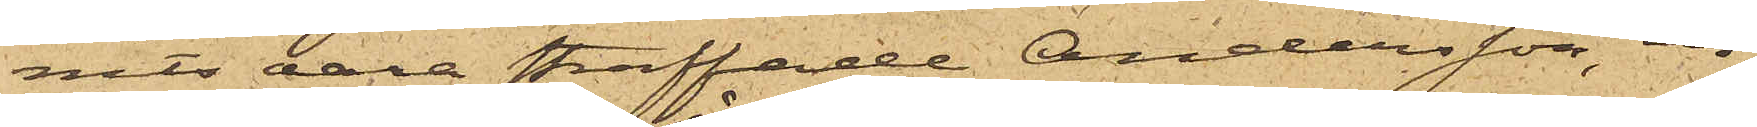nits vara straffade Andersson, in¬
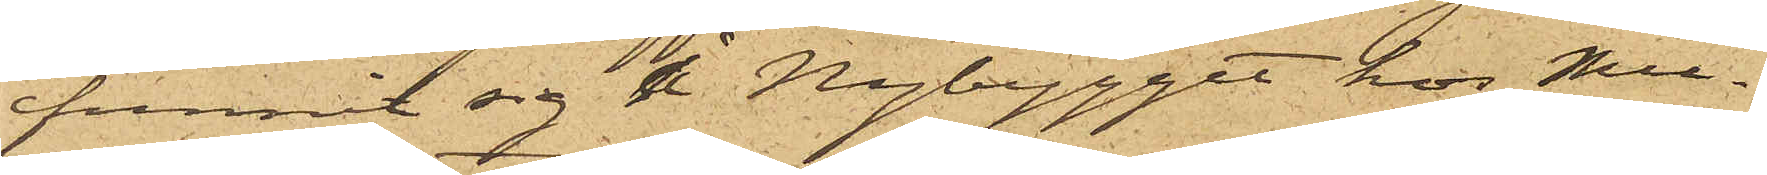funnit sig å Nybygget hos Mur¬
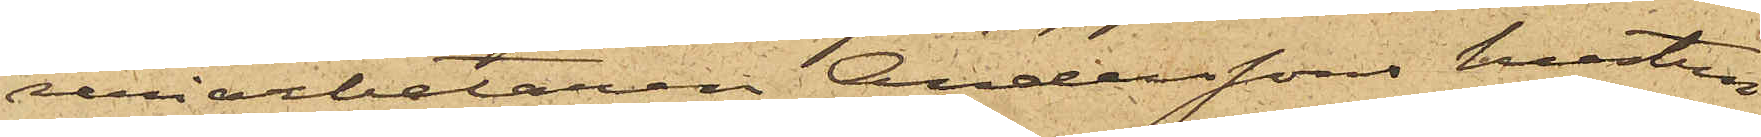reriarbetaren Anderssons hustru
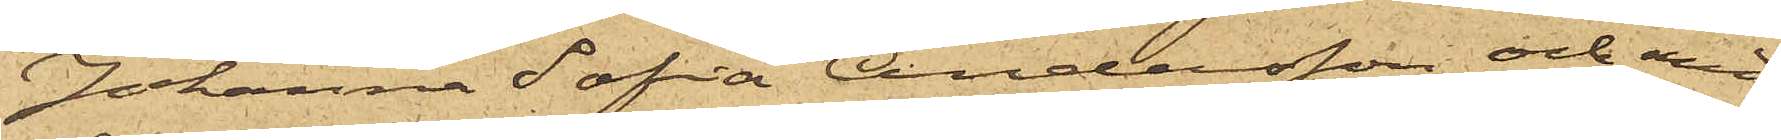Johanna Sofia Andersson och med
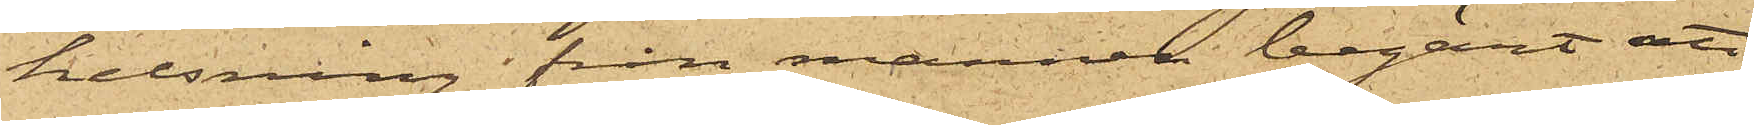helsning från mannen begärt att
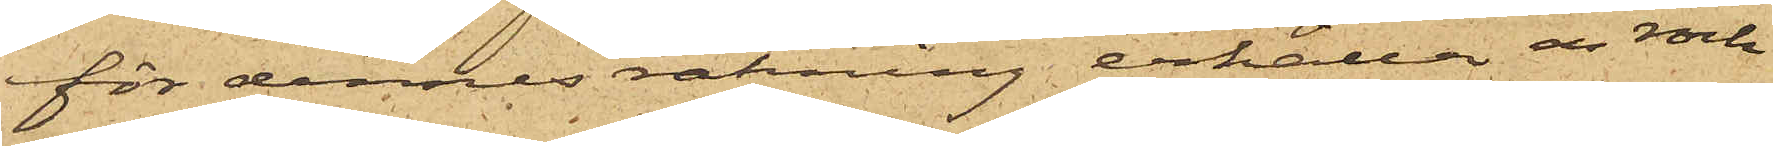för dennes räkning erhålla en rock
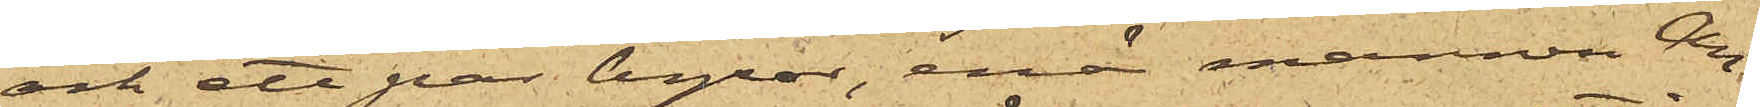och ett par byxor, enär mannen An¬
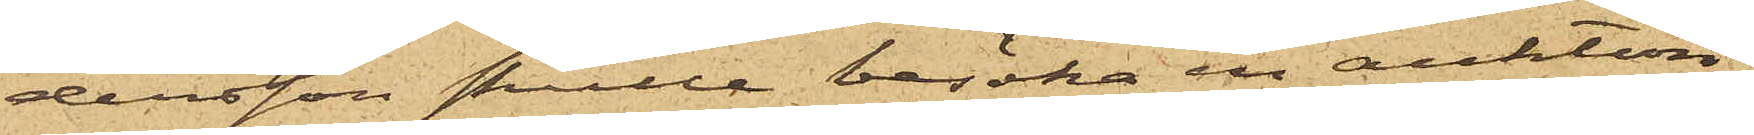dersson skulle besöka en auktion;
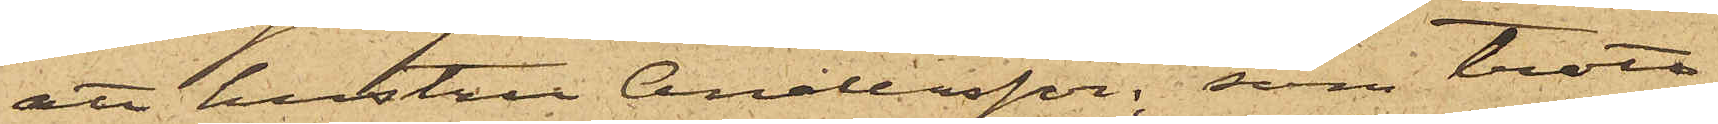att hustru Andersson; som trott
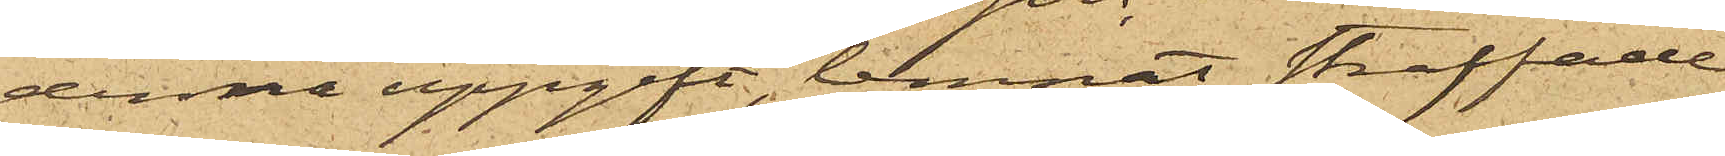denna uppgift, lemnat straffade
